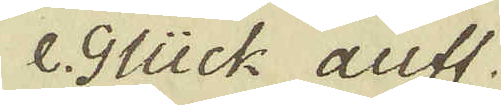e. Glück auff.
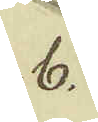b.
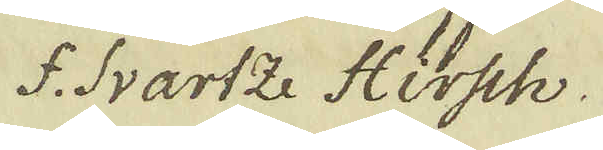f. Svartze Hissch.
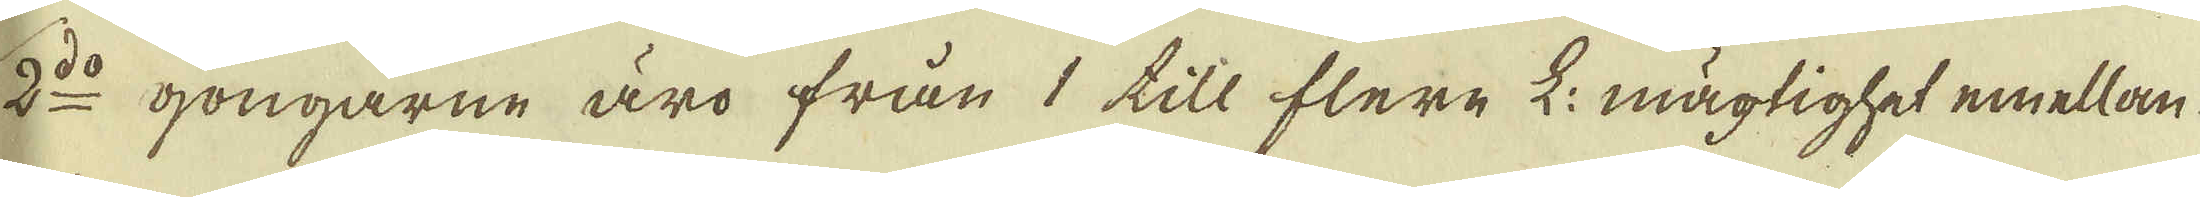2:do gongarne äro från 1 till flere L: mägtighet emellan
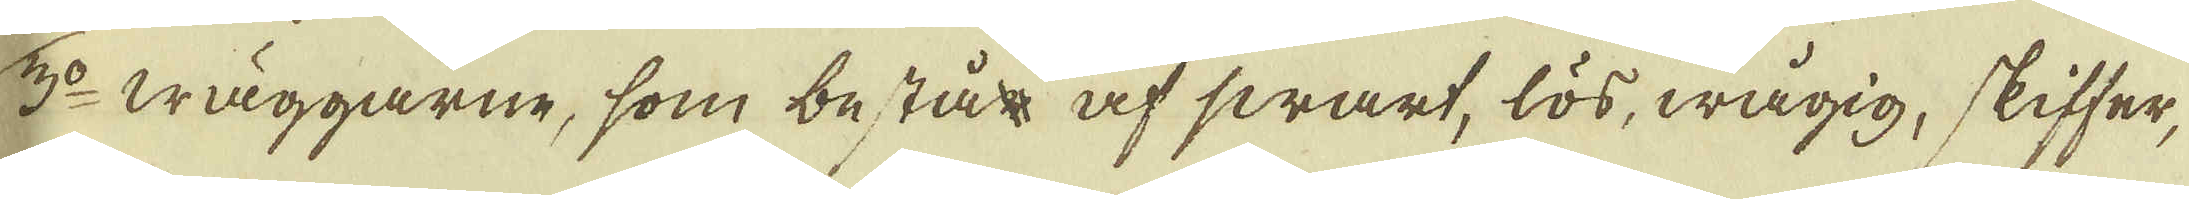3:o Wäggarne, som består af swart, lös, wågig, skiffer,
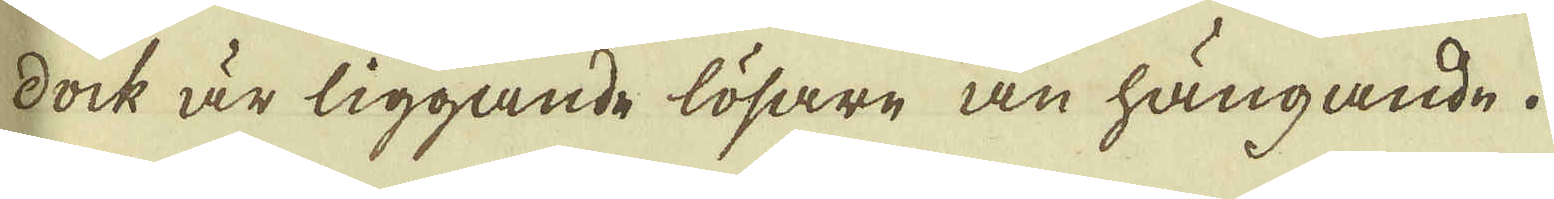dock är liggande lösare än hängande.
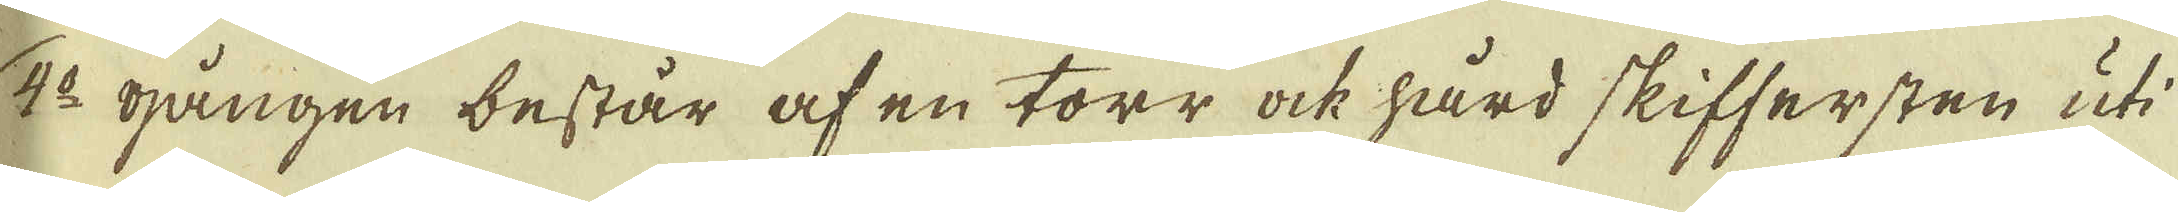4:o gången består af en torr ock hård skiffersten uti
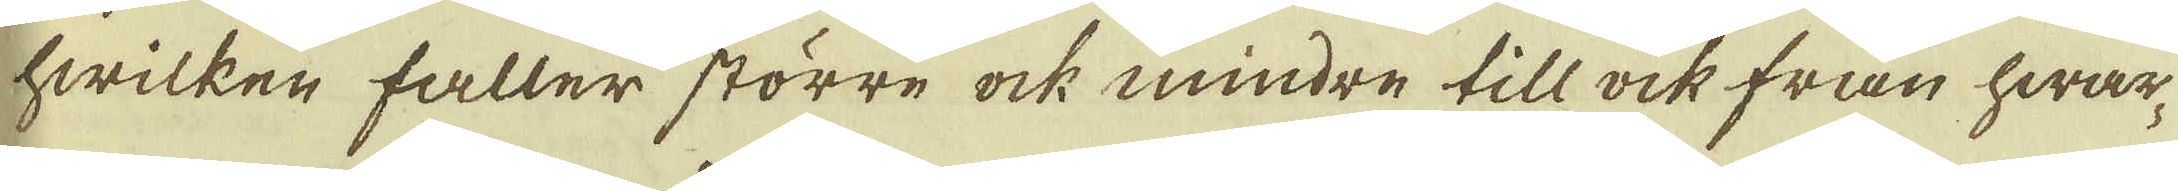hwilken faller större ock mindre till ock från hwar-
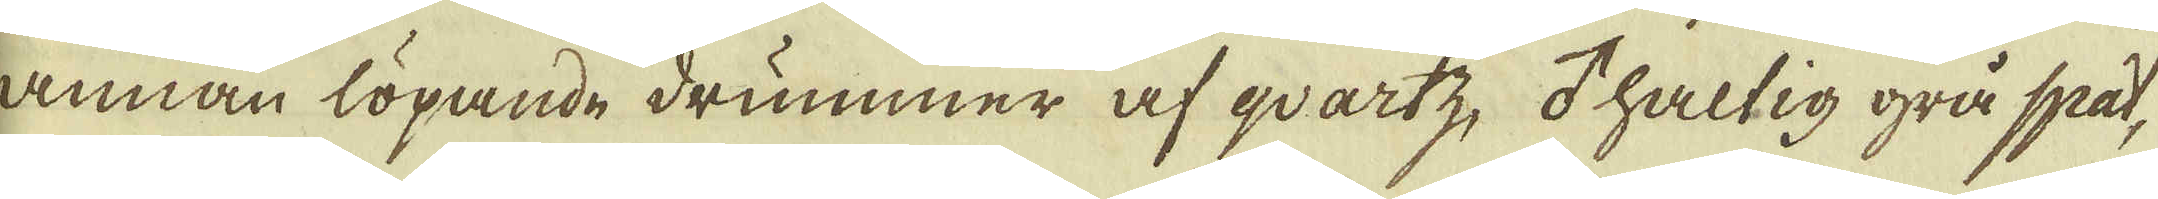annan löpande drummer af qvartz, ♂ haltig grå spat,
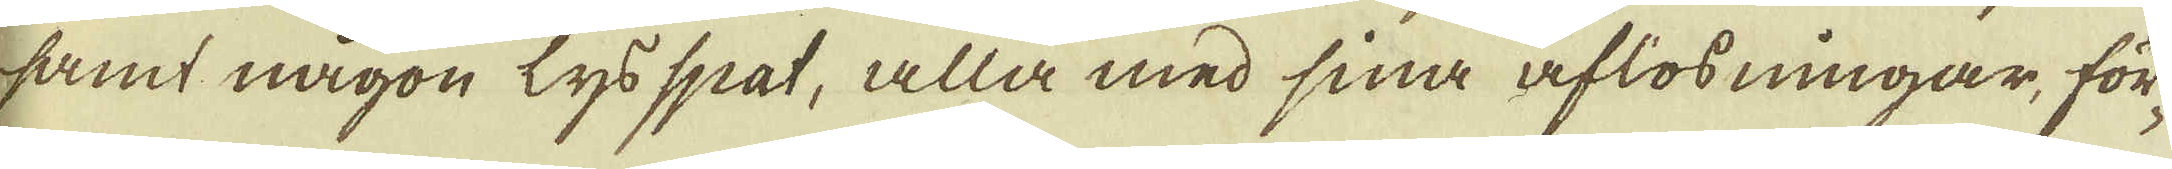samt någon lys spat, alla med sina aflösningar, för-
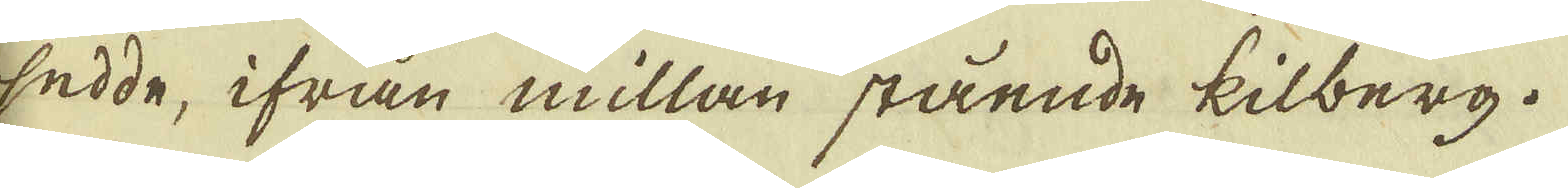sedde, ifrån millan stående kilberg.
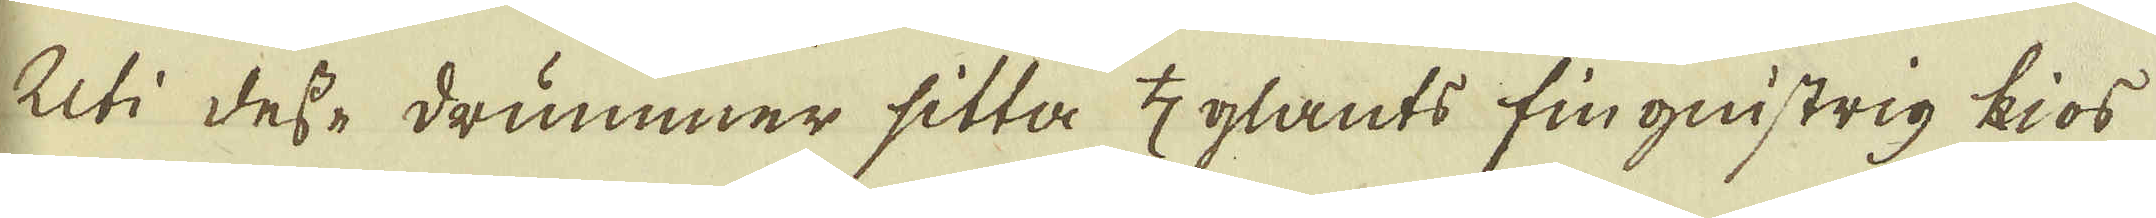Uti desse drummer sitta ♄glants fingnistrig kios
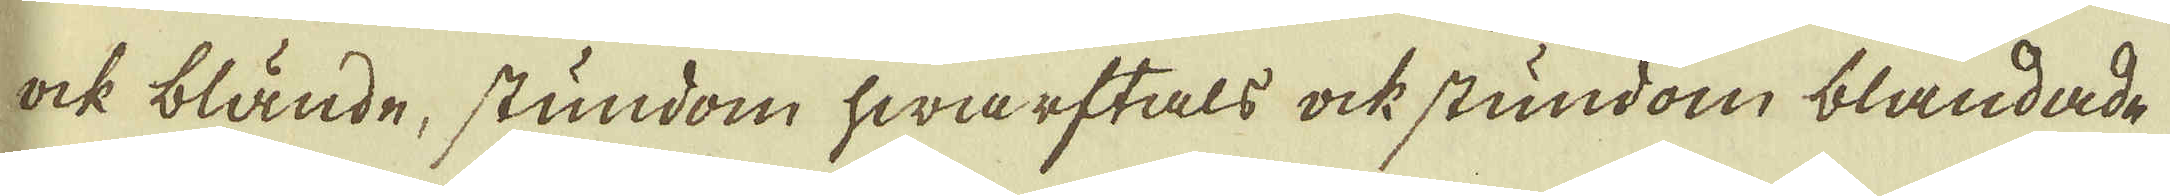ock blände, stundom hwarftals ock stundom blandade
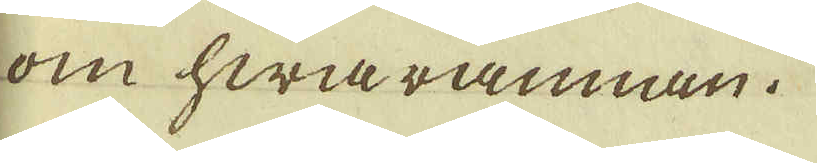om hwarannan.
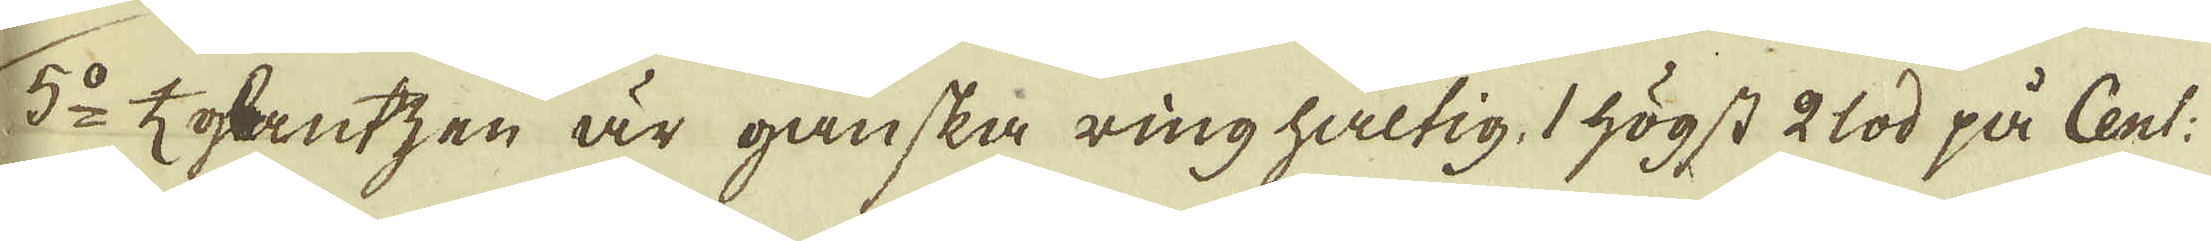5:o ♄ glantzen är ganska ring haltig, 1 högst 2 lod på Cent:
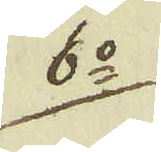6:o
